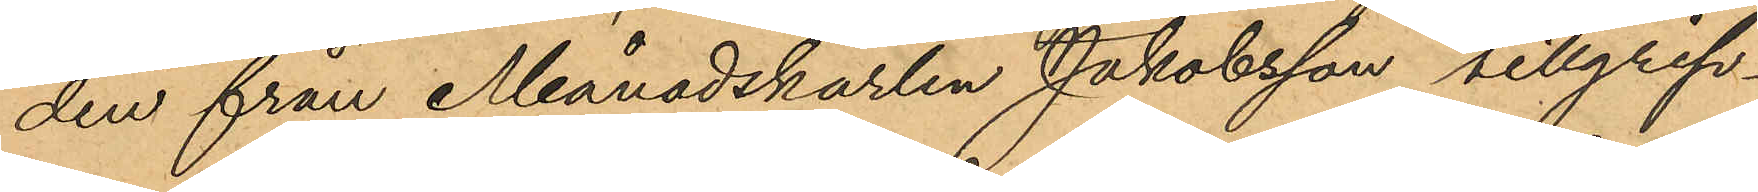den från Månadskarlen Jakobsson tillgrip¬
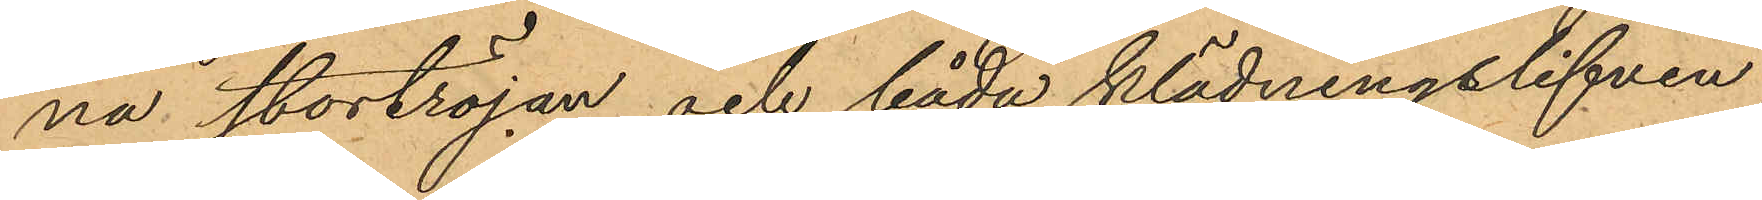na stortröjan och båda klädningslifven,
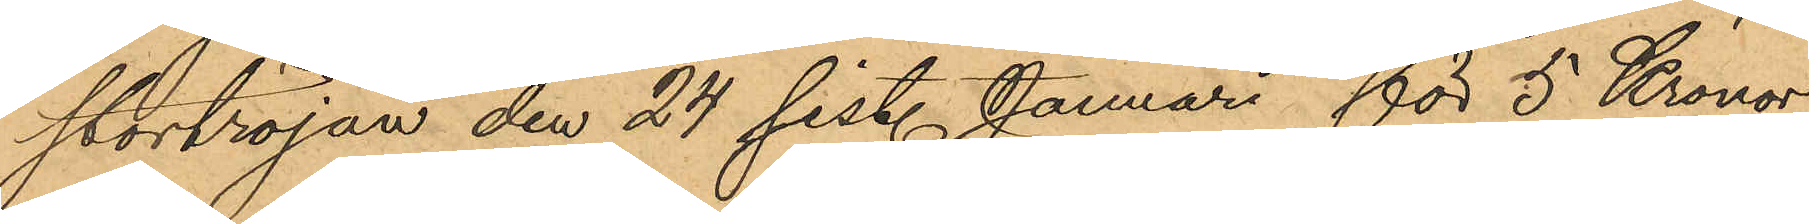stortröjan den 24 sist. Januari för 5 Kronor
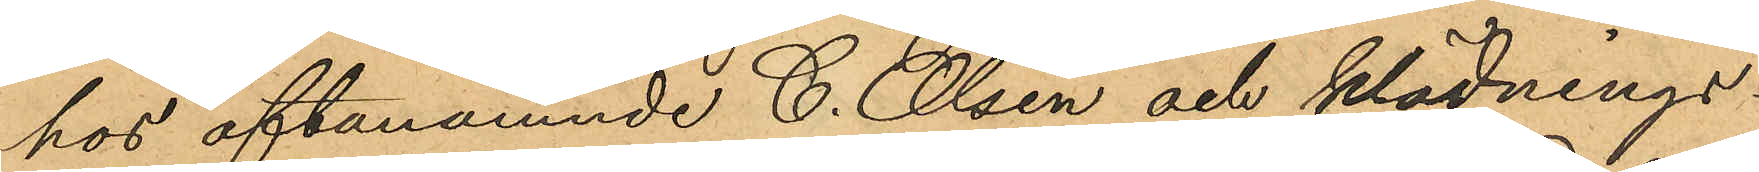hos oftanämnde C. Olsén och klädnings¬
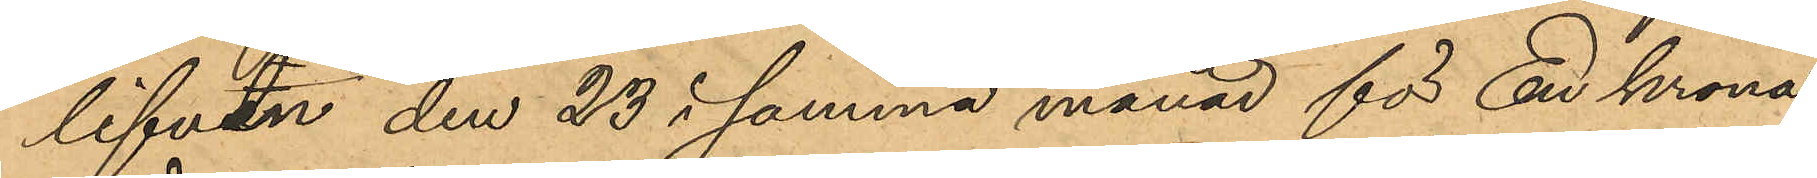lifven den 23 i samma månad för En krona
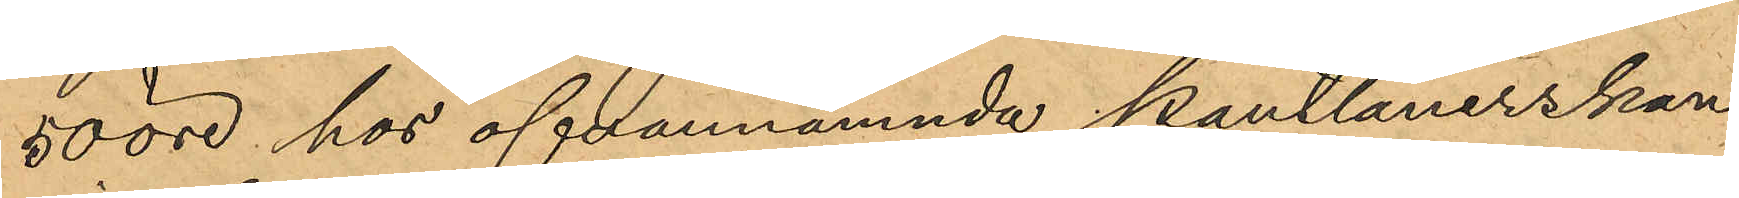50 öre hos ofvannämnda Pantlånerskan
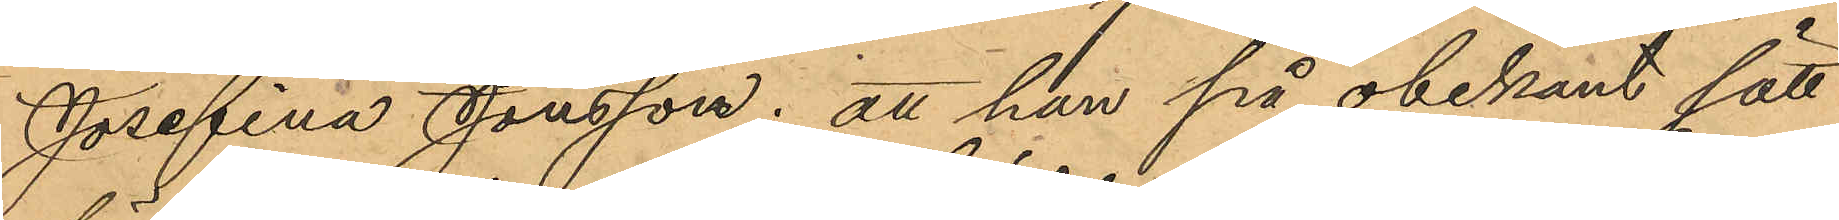Josefina Jonsson; att han på obekant sätt
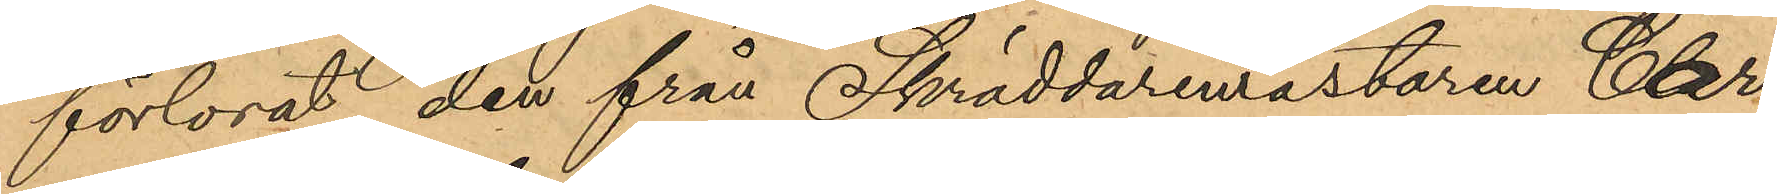förlorat den från Skräddaremästaren Car¬
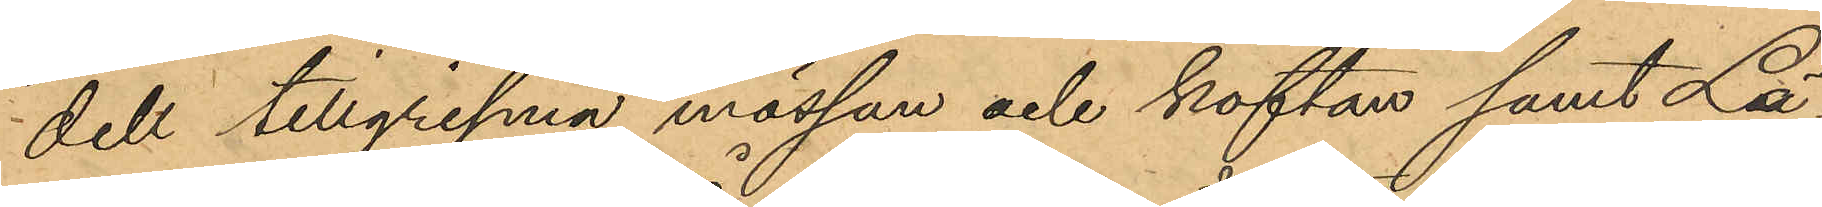dell tillgripna mössan och koftan samt Lä¬
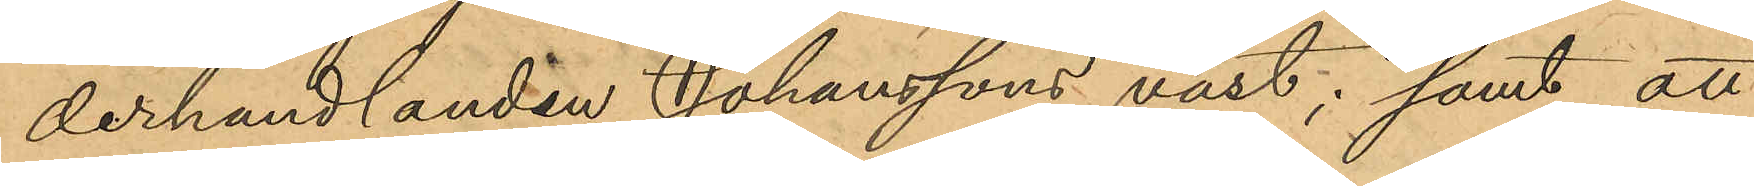derhandlanden Johanssons väst; samt att
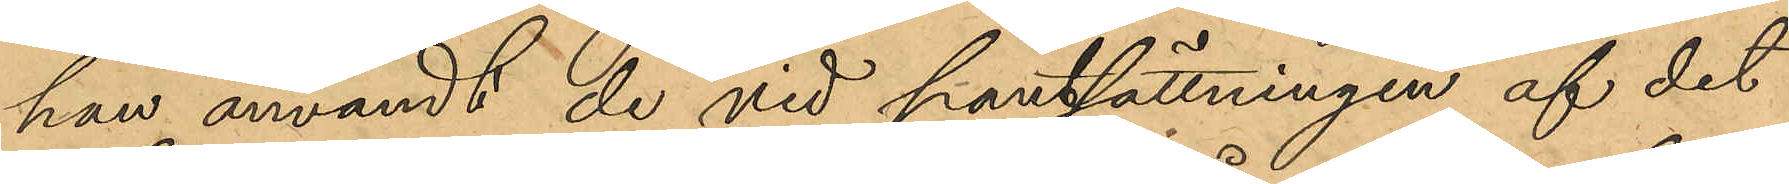han användt de vid pantsättningen af det
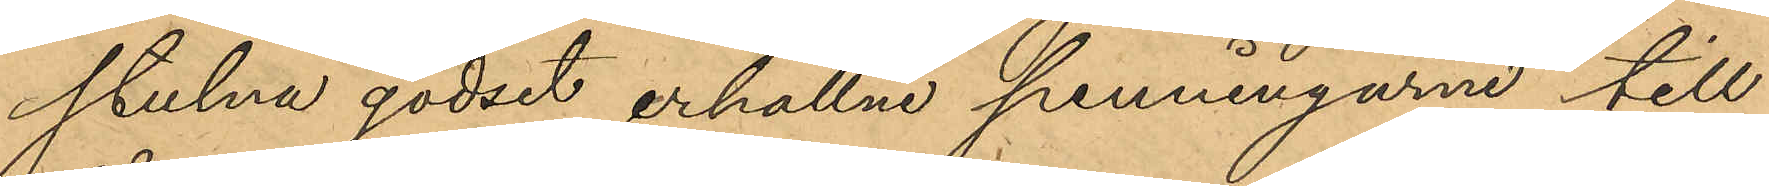stulna godset erhållne penningarne till
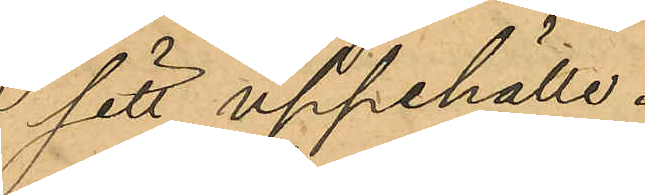 sitt uppehälle.
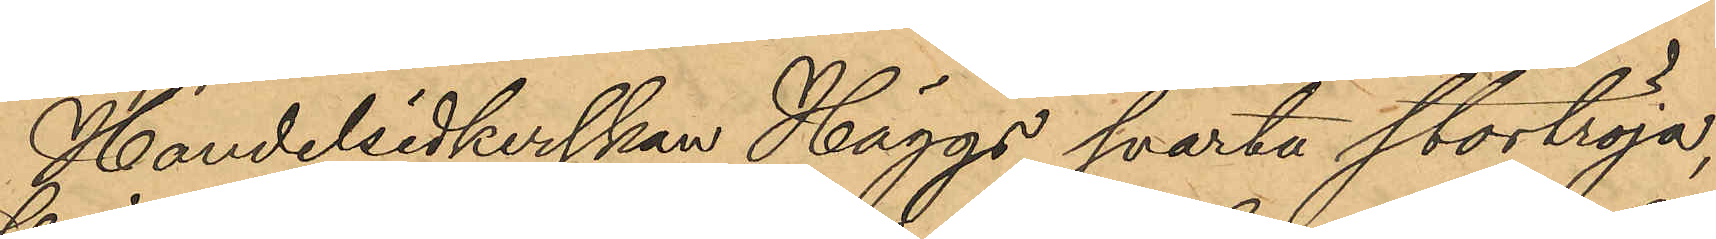Handelsidkerskan Häggs svarta stortröja,
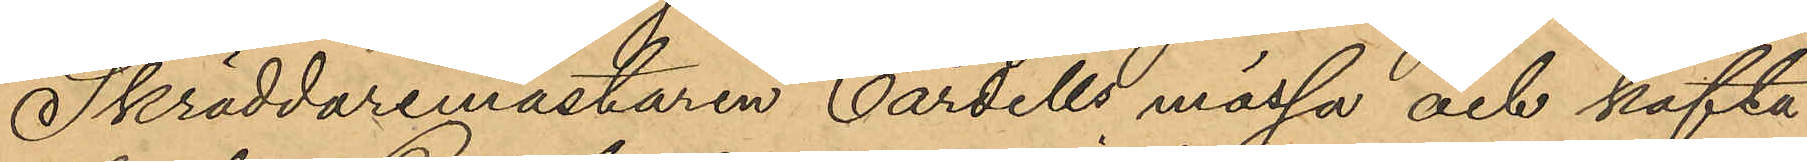Skräddaremästaren Cardells mössa och kofta
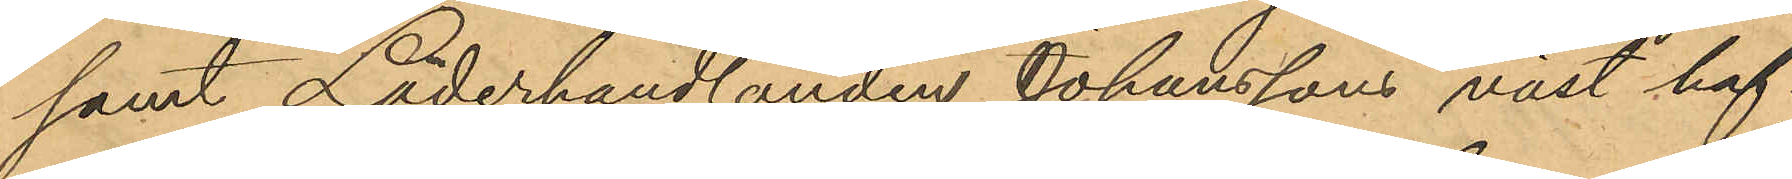samt Läderhandlanden Johanssons väst haf¬
